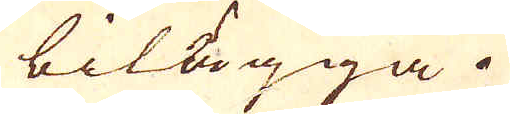bilägga.
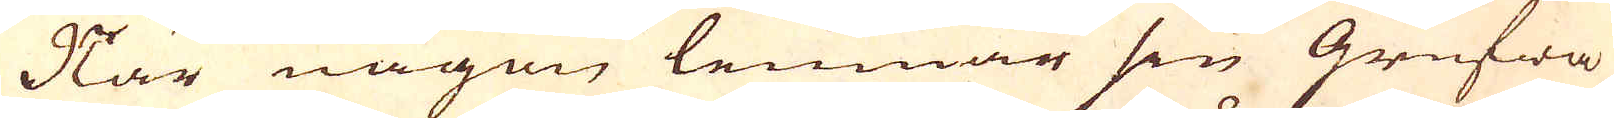När någon lemnar sen Grufwa
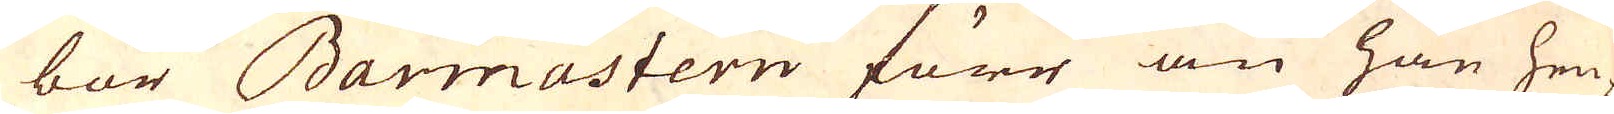bör Barmastern förr än han hen-
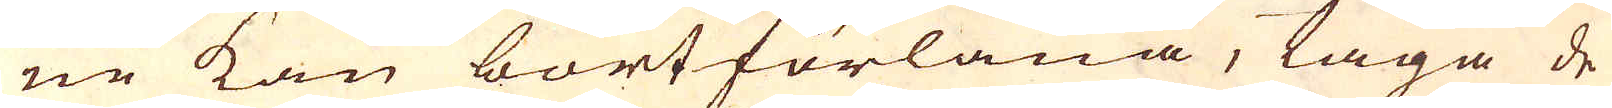ne kan bortförläna, laga de
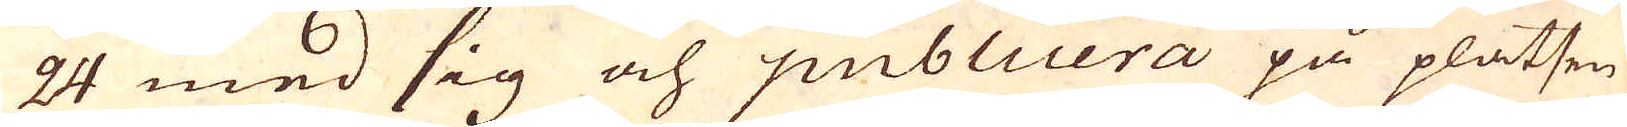24 med sig och publicera på platsen
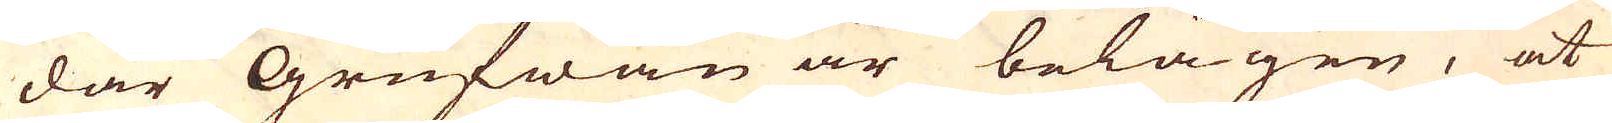där Grufwan är belägen, at
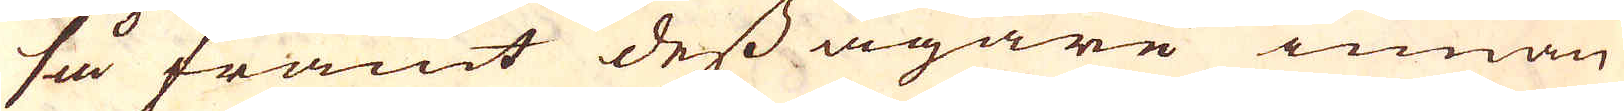så framt dess ägare innan
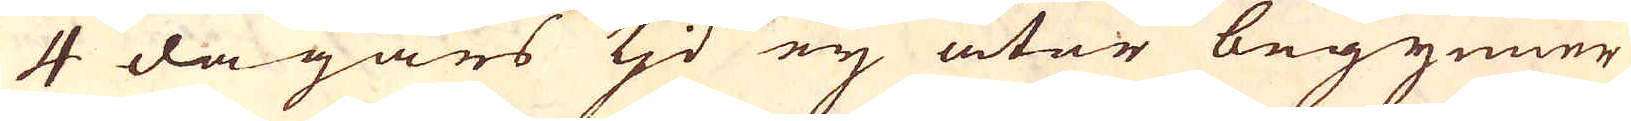4 dagars tjd ey åter begynner
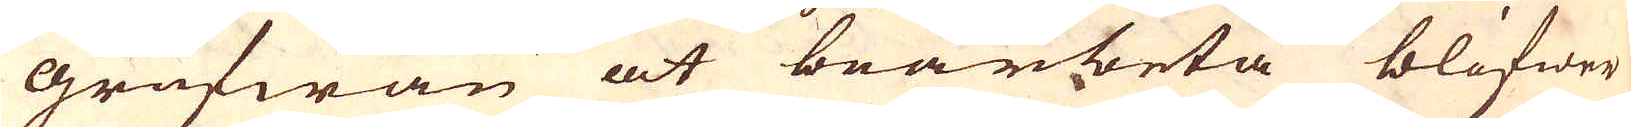grufwan at bearbeta blifwer
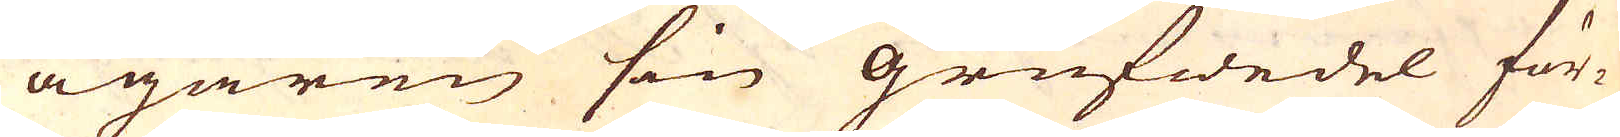ägaren sin grufwedel för-
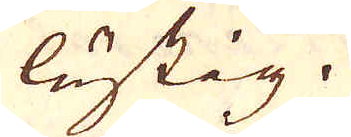lustig.
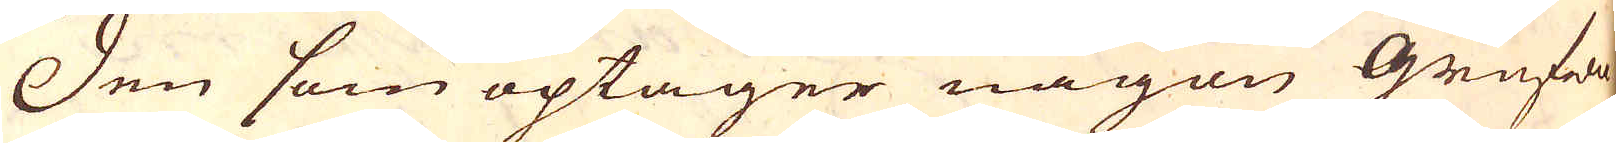Den som optager någon Grufwa
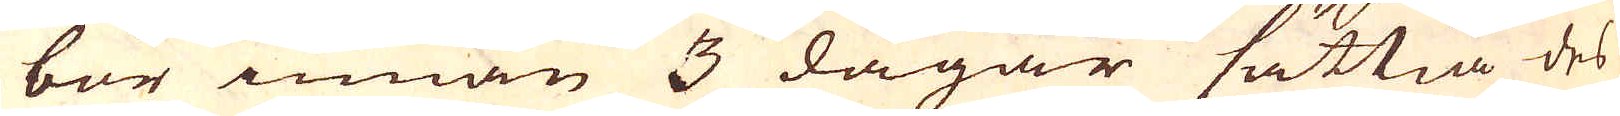bör innan 3 dagar sättia des
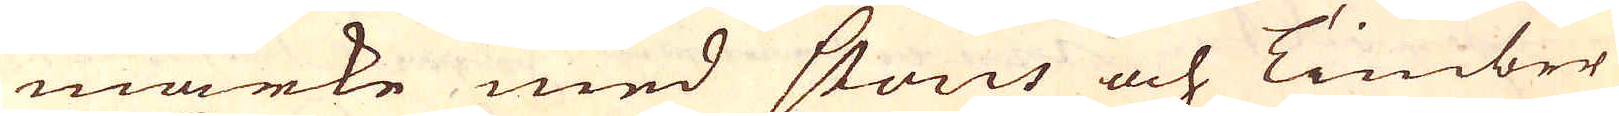märke med Stons och Timber
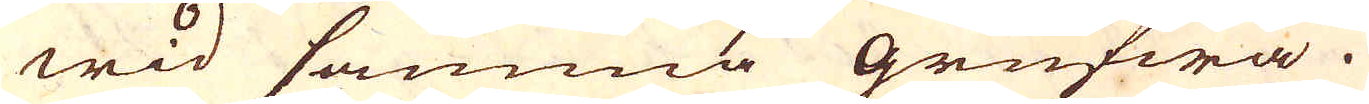wid samma grufwa.
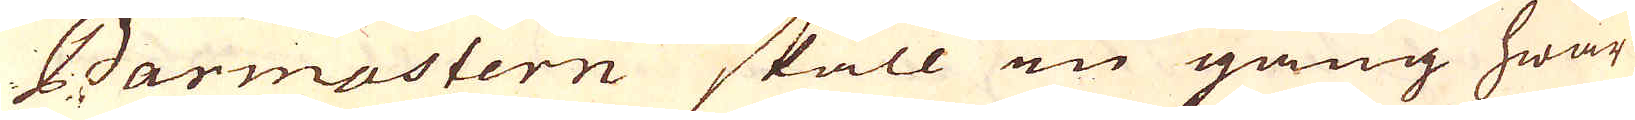Barmastern skall en gång hwar
